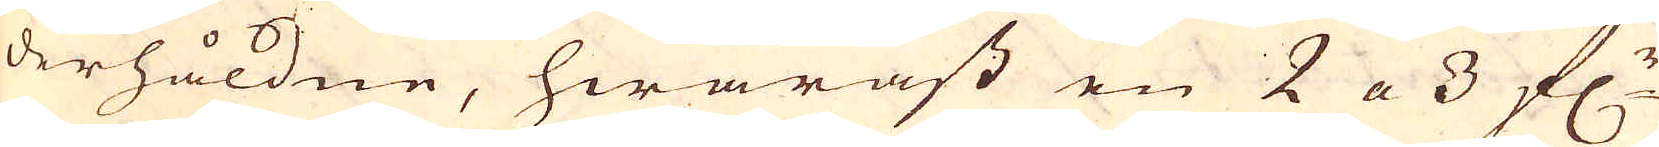derhåldne, hwaräst en 2 a 3 f:r
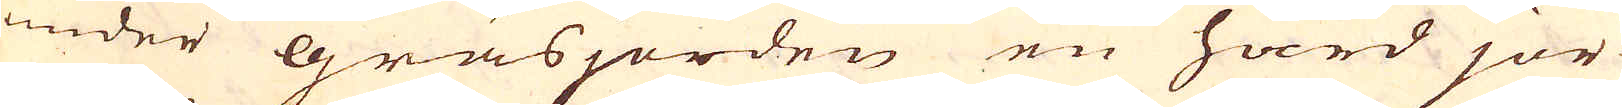under gräsjorden en hård jor-
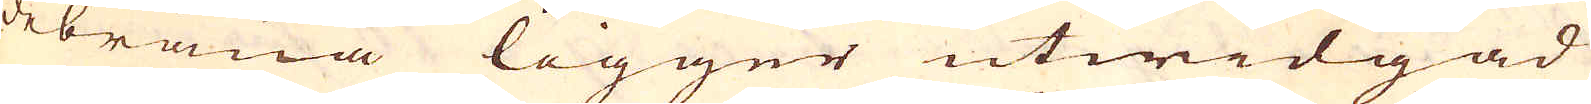debräna ligger utwidgad
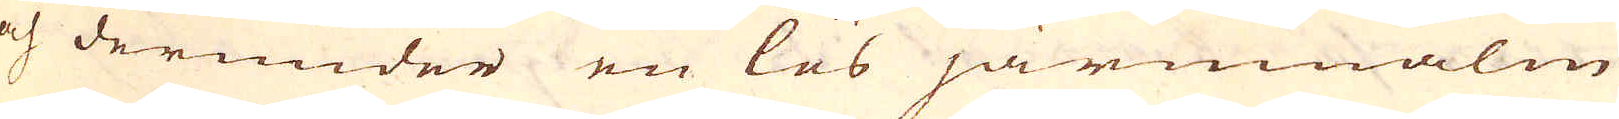och derunder en lös järnmalm
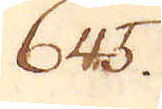645.
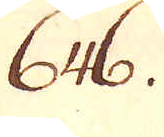646.
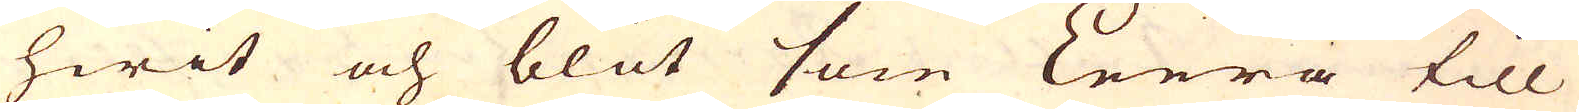hwit och blöt som Leera till
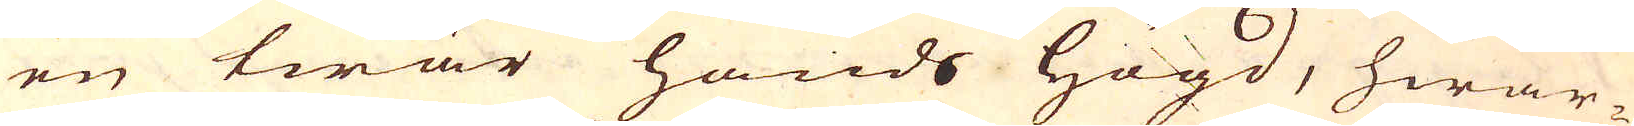en twär hands högd, hwar-
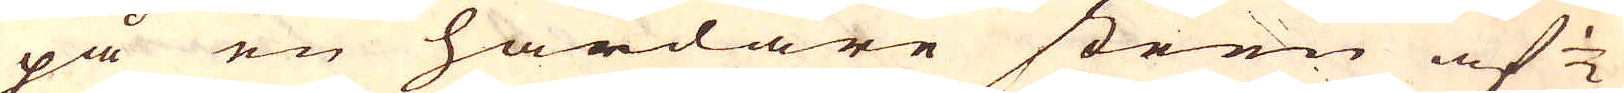på en hårdare steen af 1/2
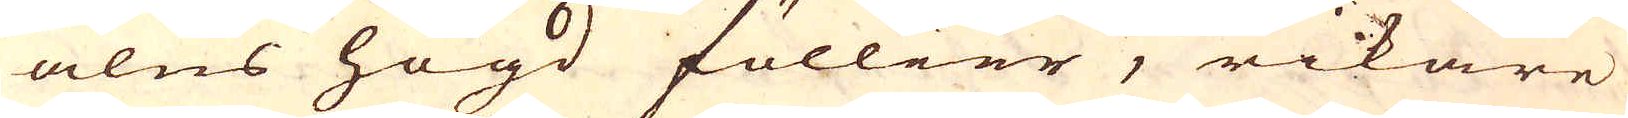alns högd föllier, rikare
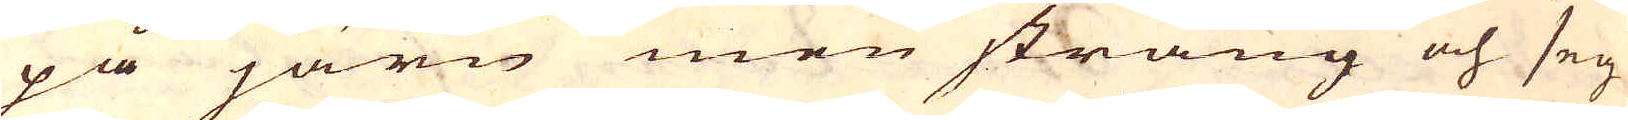på järn men sträng och seg
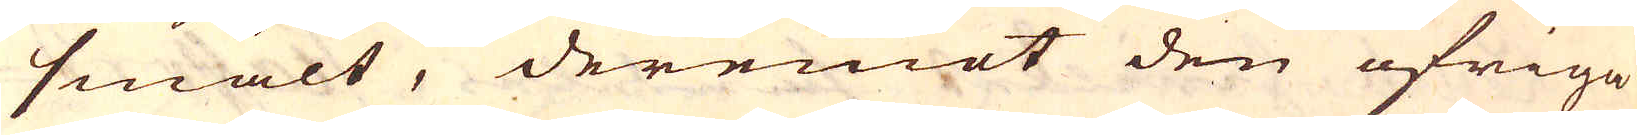smält, deremot den öfriga
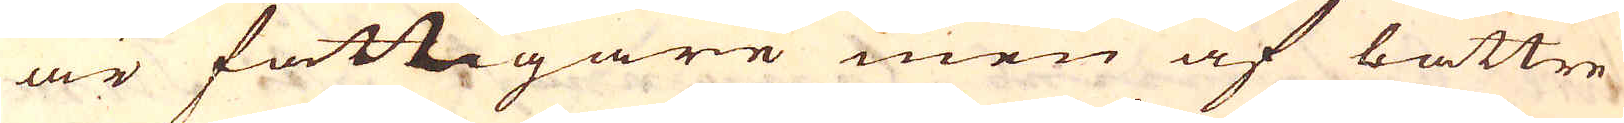är fattigare men af bättre-
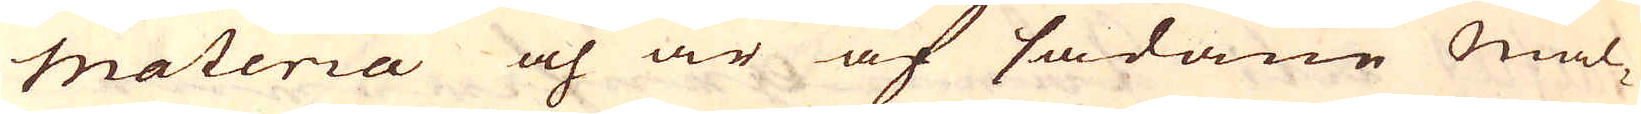materia och är af sådane Mal-
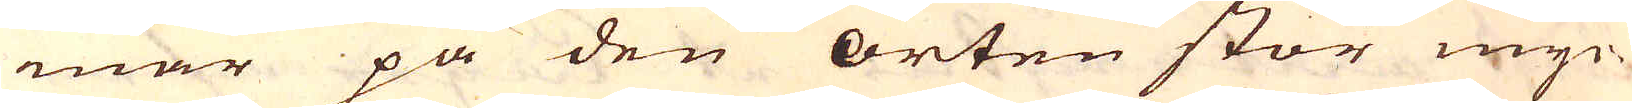mar på den orten stor myc-
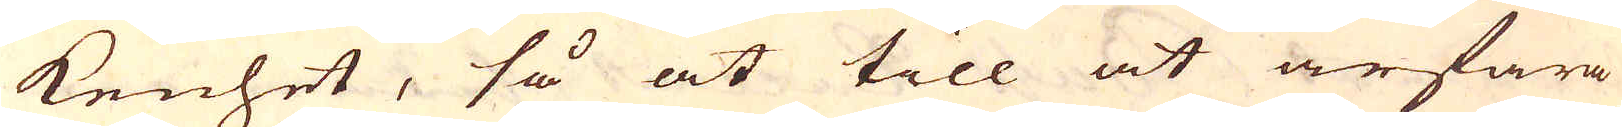kenhet, så at till at ärfara
